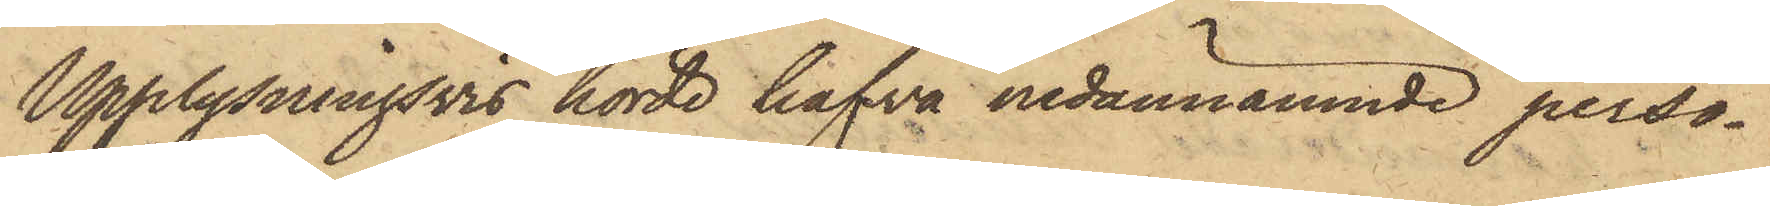Upplysningsvis hörde hafva nedannämnde perso¬
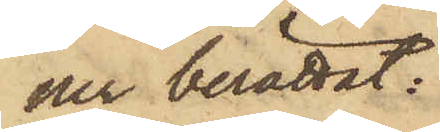ner berättat:
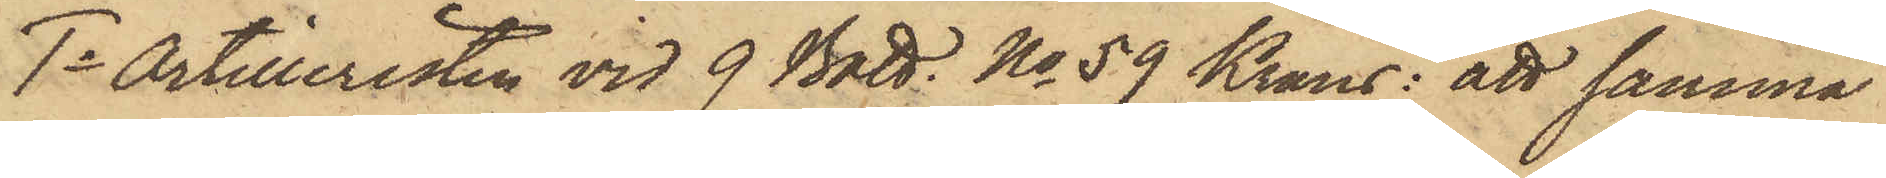1o Artilleristen vid 9 Batt. No 59 Krans: att samma
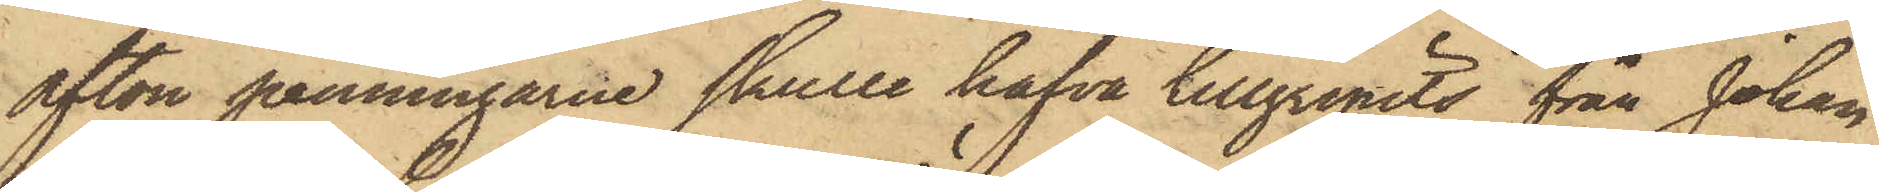afton penningarne skulle hafva tillgripits från Johan
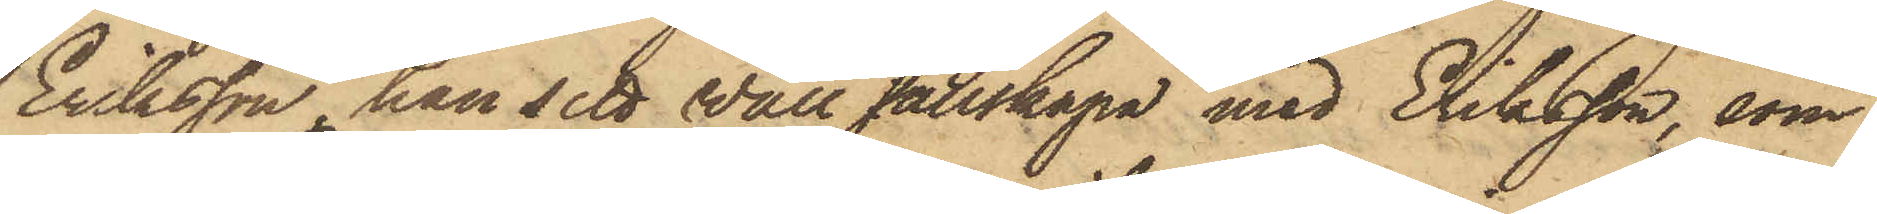Eriksson, han sett Wall sällskapa med Eriksson, som
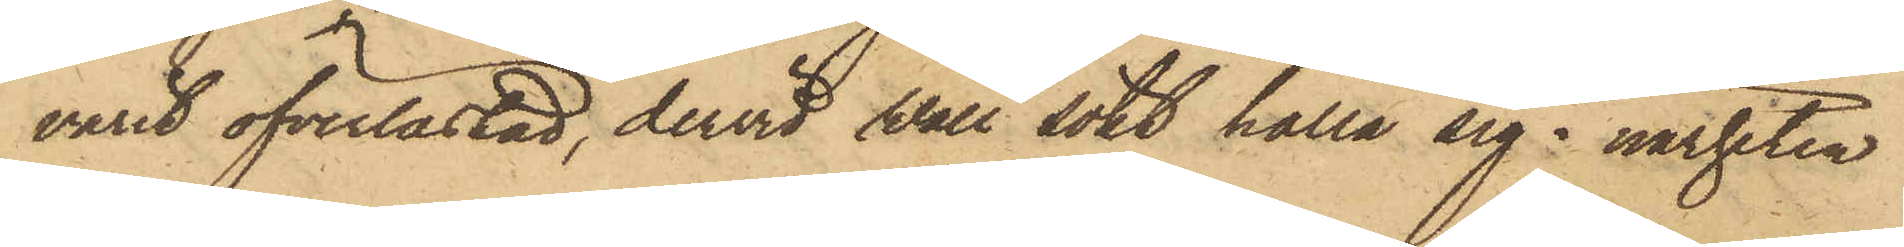varit öfverlastad, dervid Wall sökt hålla sig i närheten
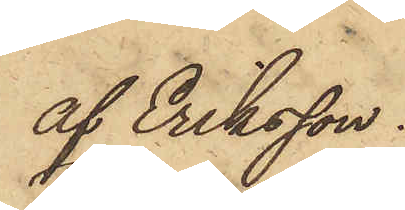af Eriksson.
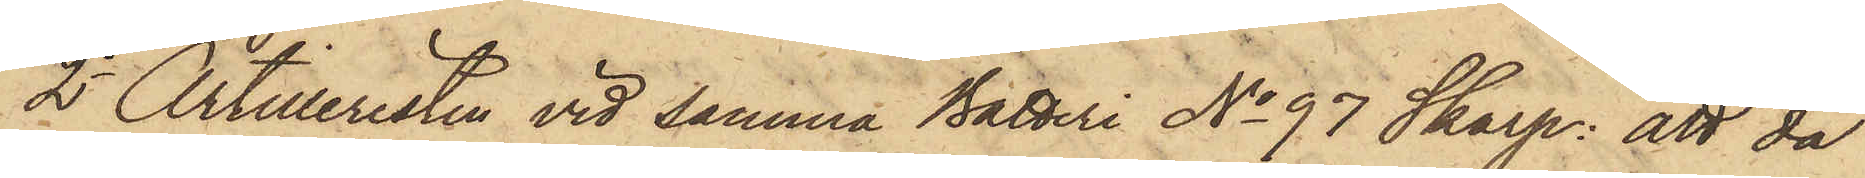2o Artilleristen vid samma Batteri No 97 Skarp: att då
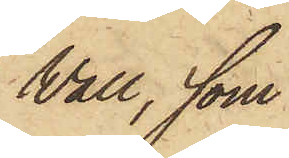Vall, som
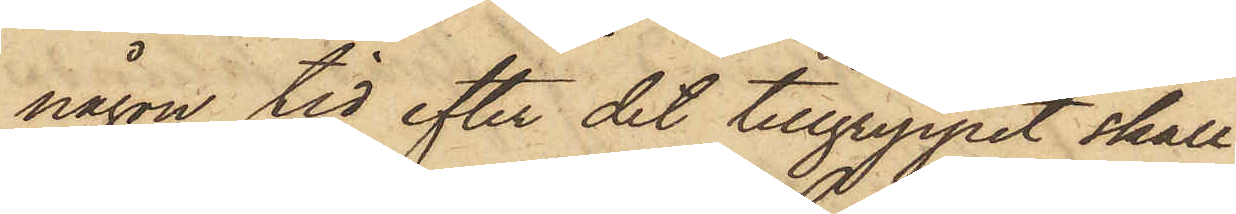någon tid efter det tillgreppet skall
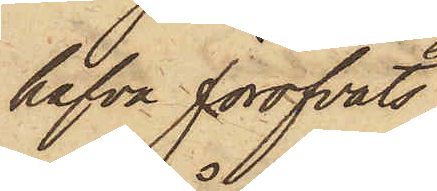hafva föröfvats,
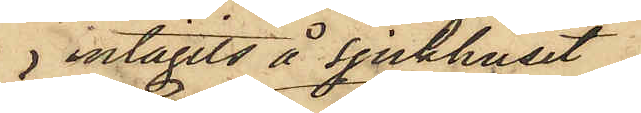intagits å sjukhuset
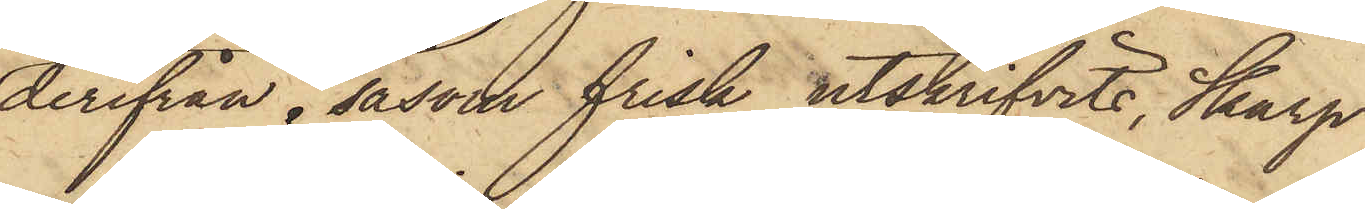derifrån, såsom frisk utskrifvits, Skarp
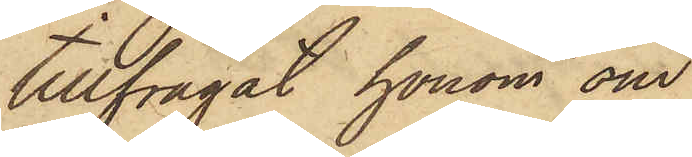tillfrågat honom om
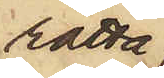rätta
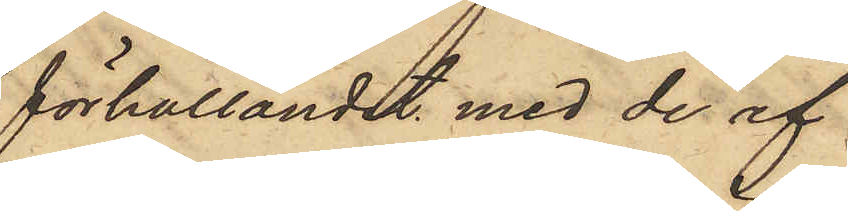förhållandet med de af
